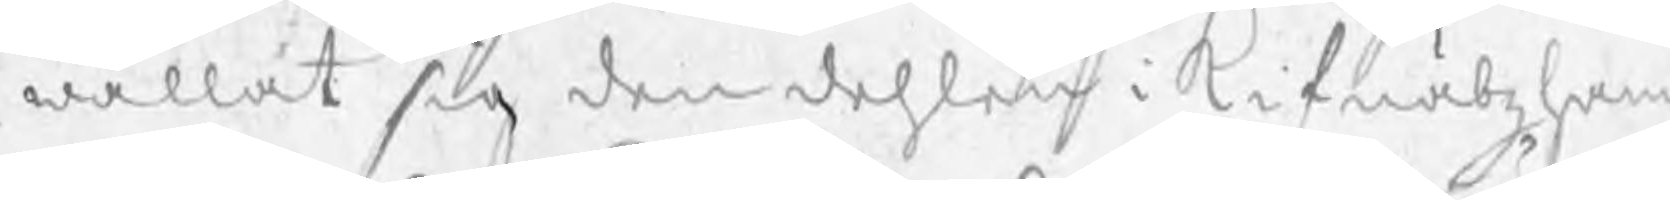wällat sig den dehlen i Kifnäbzham
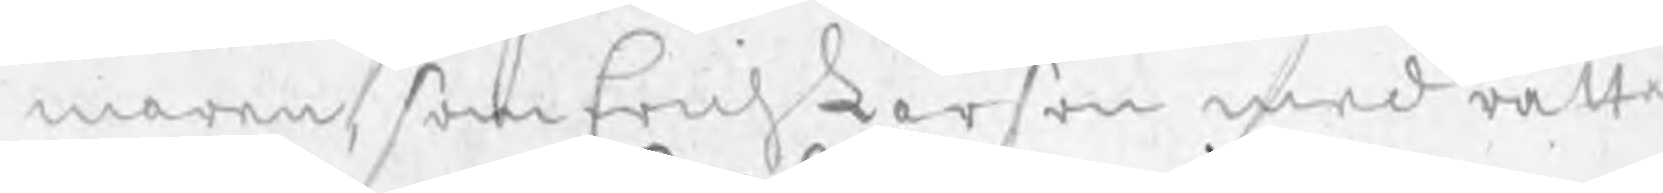maren, som Erich Larson med rätta
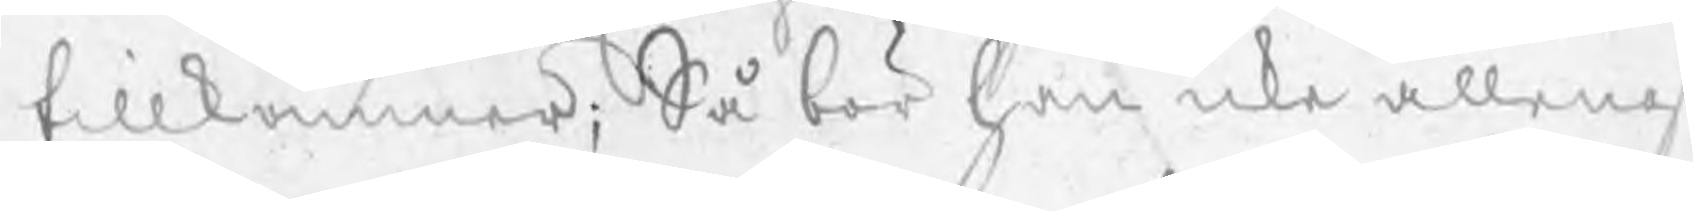tillkommer; Så bör han icke allenas
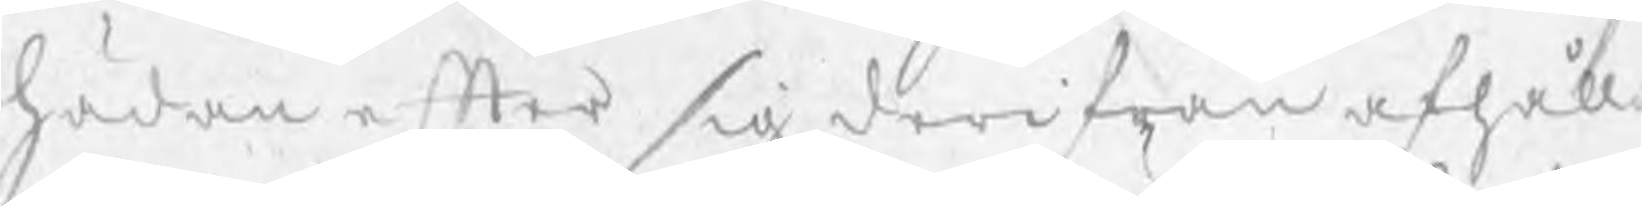hädanefter sig derifrån afhålla
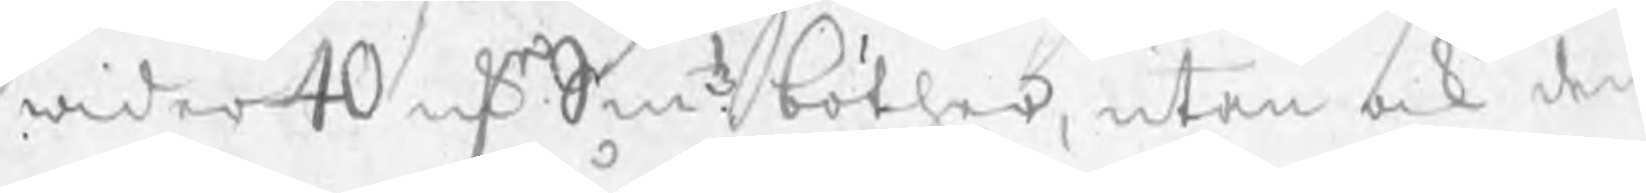wider 40 rkr Smtz böther, utan ock den
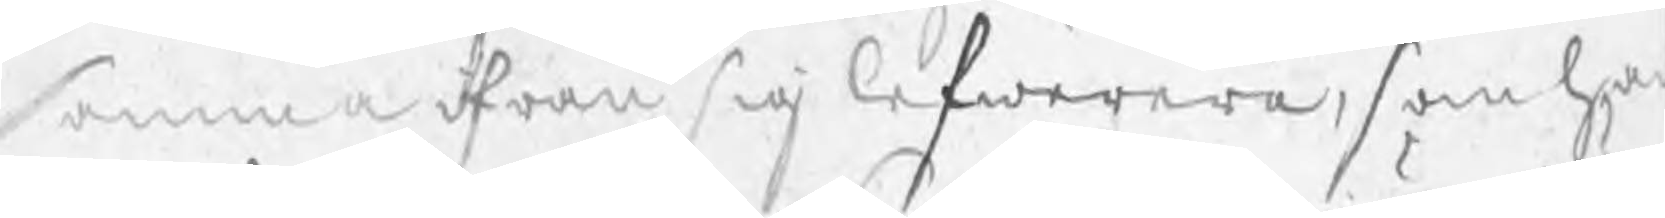samma ifrån sig lefwerera, som han
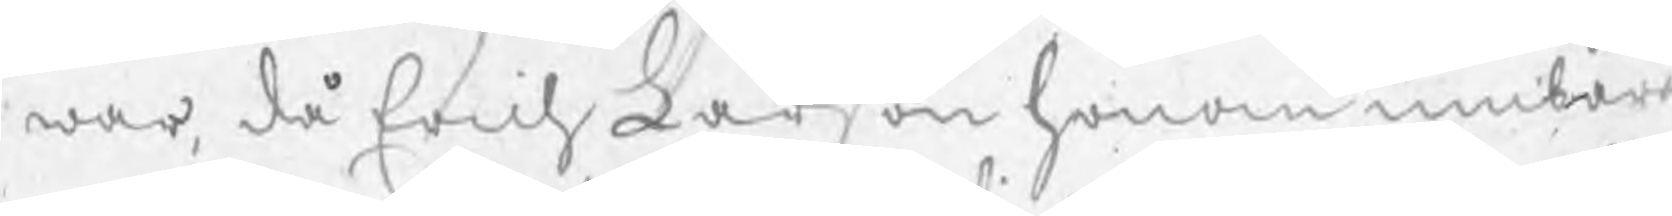war, då Erich Larson honom umbära
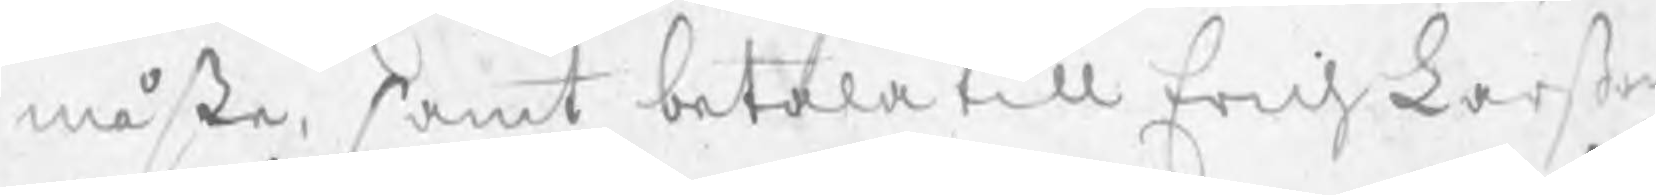måste, samt betala till Erich Larßon
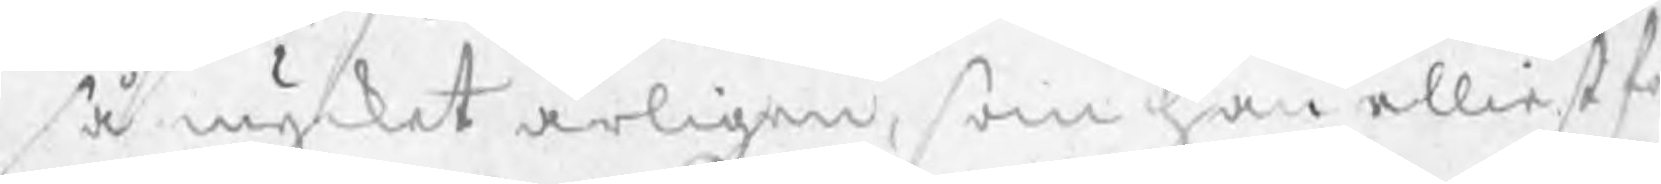så mycket årligen, som han elliest fö
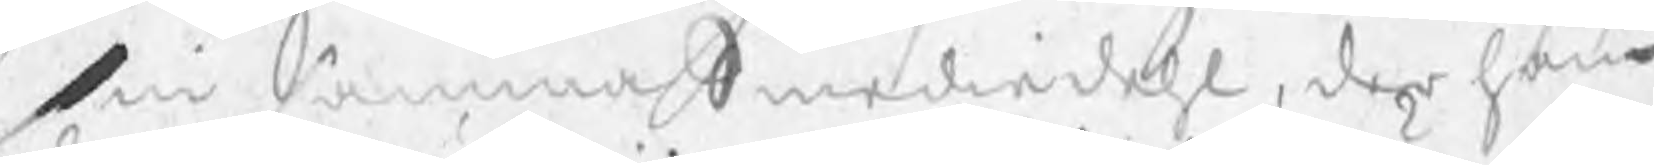sin samma Smediedehl, der han
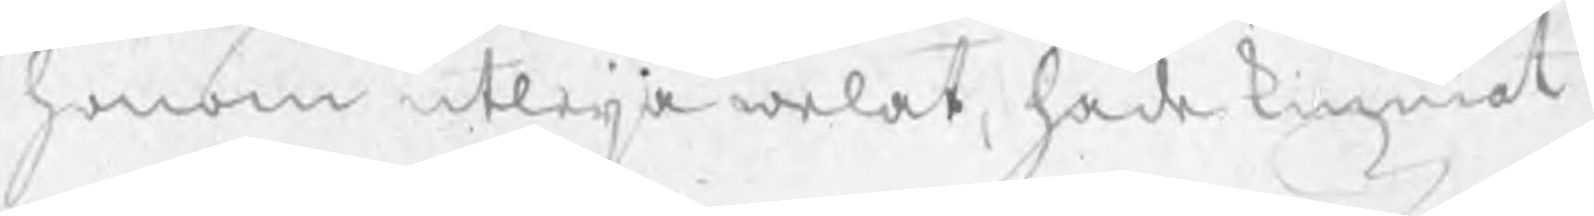honom utleja welat, hade kunnat
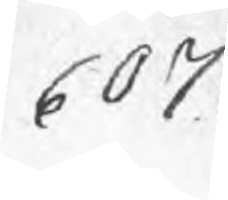607
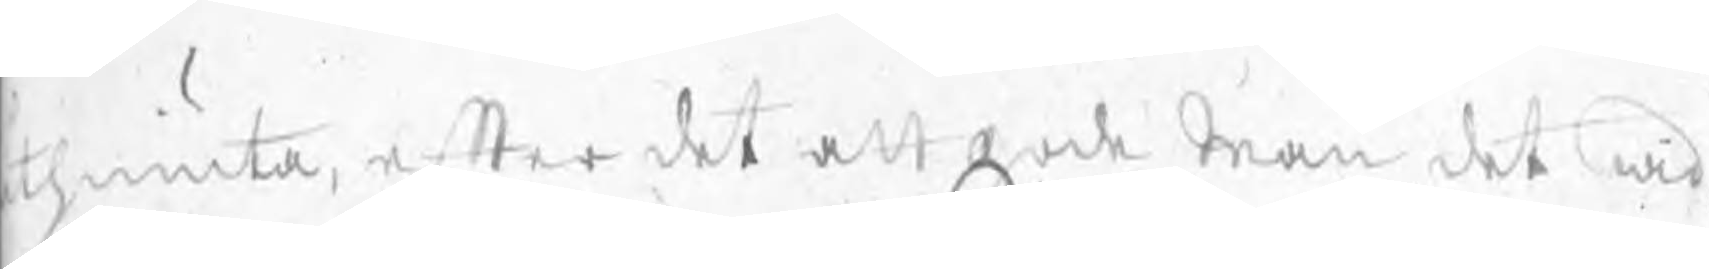tniuta, efter det att gode Män det wid
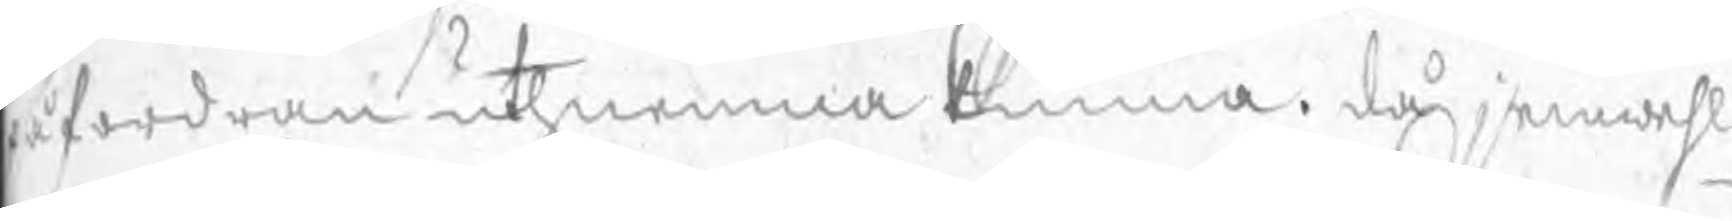påfordran uthnemna kunna. då jemwehl
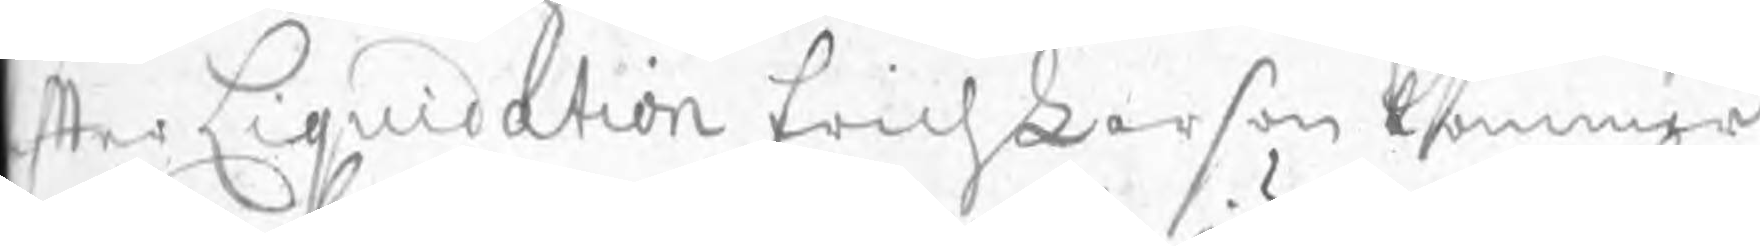efter Liquidation Erich Larson kommer
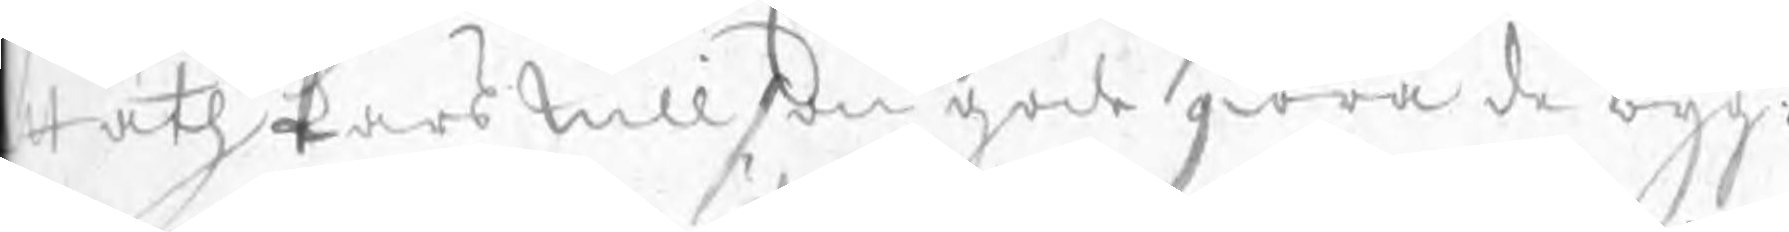at åth Lars Nillson gode giöra de byg:
